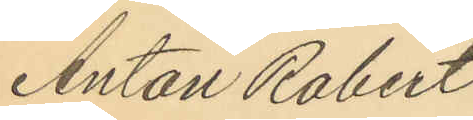Anton Robert
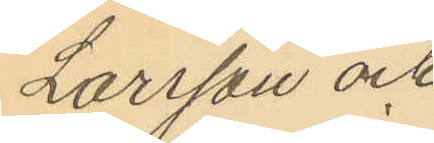Larsson och
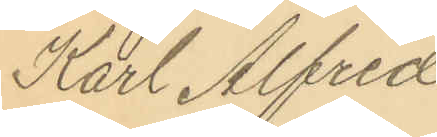Karl Alfred
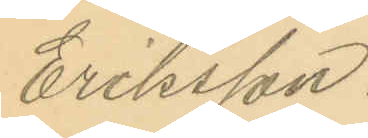Eriksson.
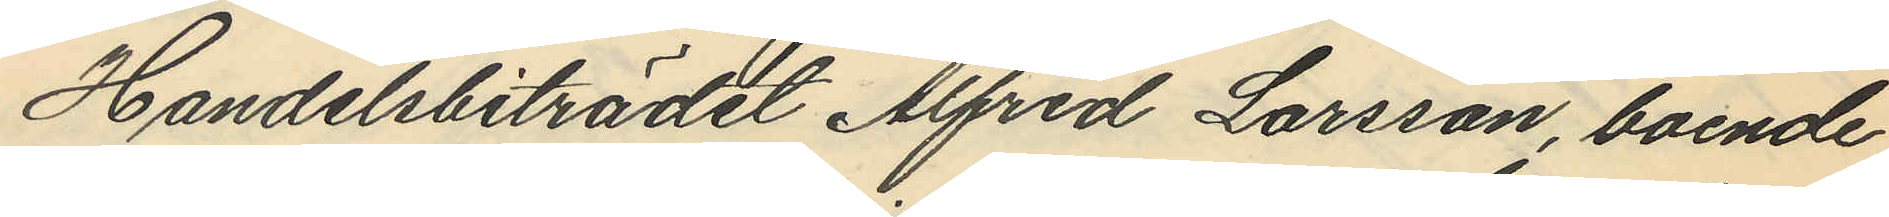Handelsbiträdet Alfred Larsson, boende
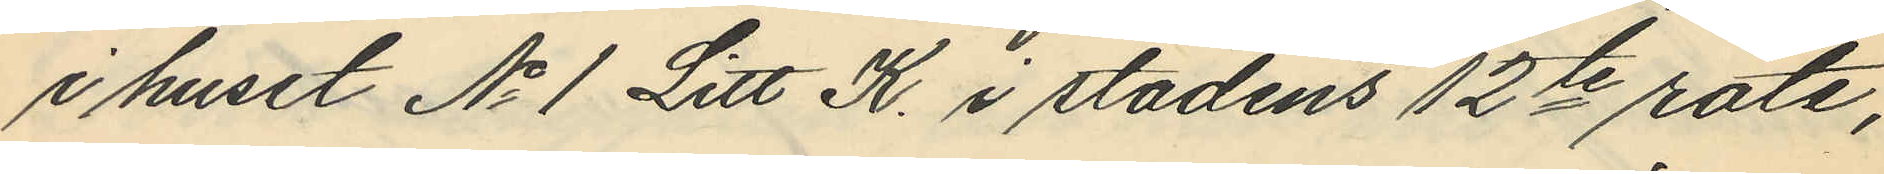i huset No 1 Litt K. i stadens 12te rote,
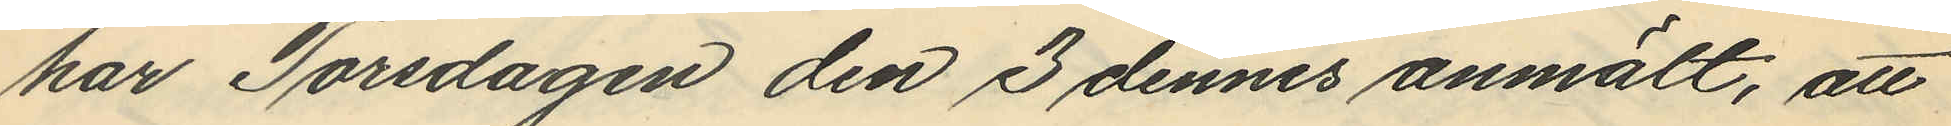har Torsdagen den 3 dennes anmält, att
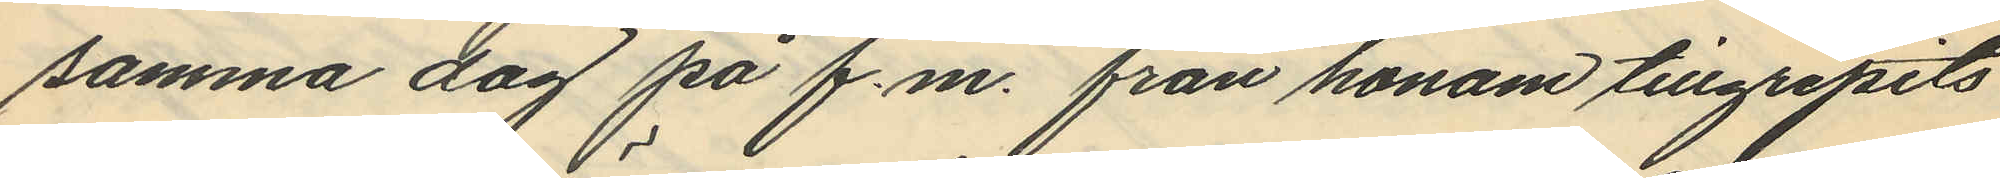samma dag på f.m. från honom tillgripits
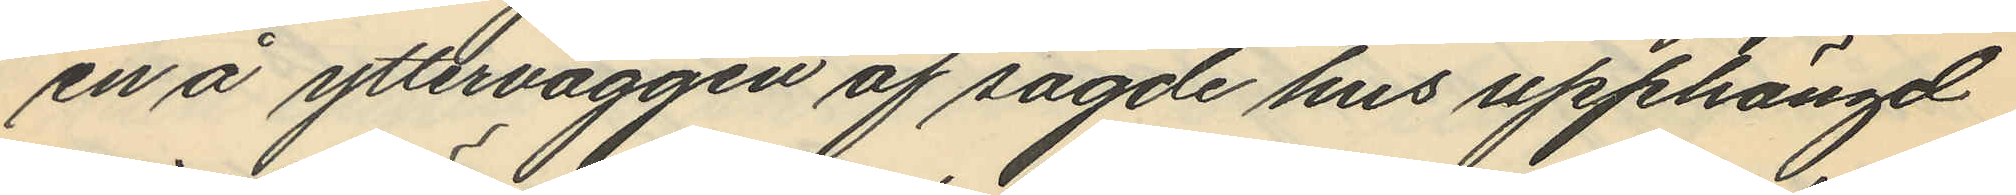en å ytterväggen af sagde hus upphängd
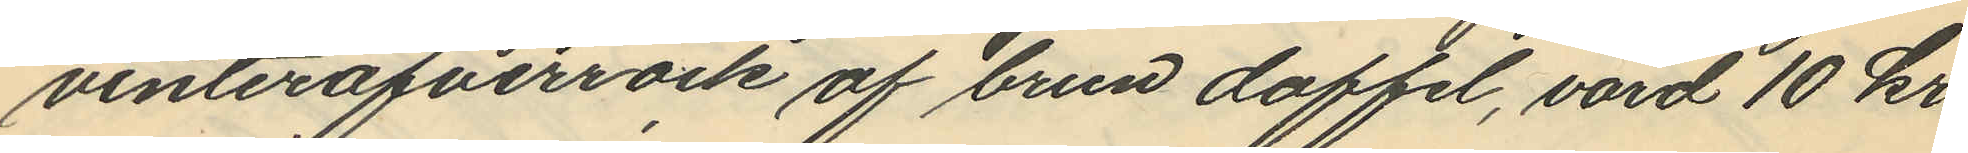vinteröfverrock af brun doffel, värd 10 kr.
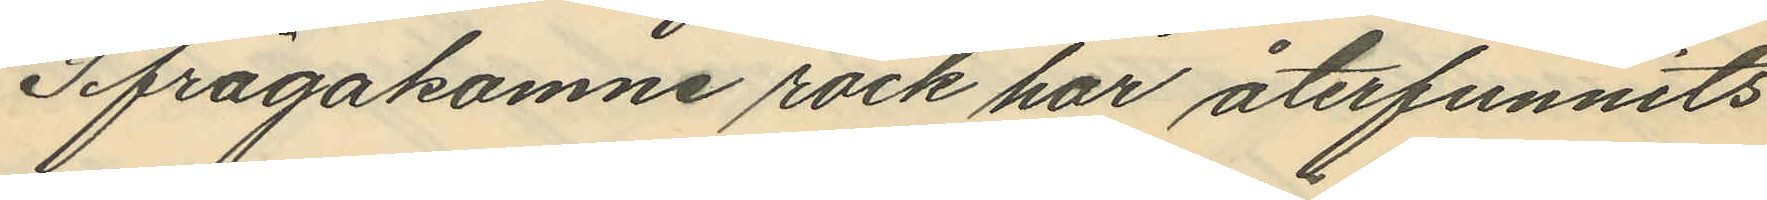Ifrågakomne rock har återfunnits
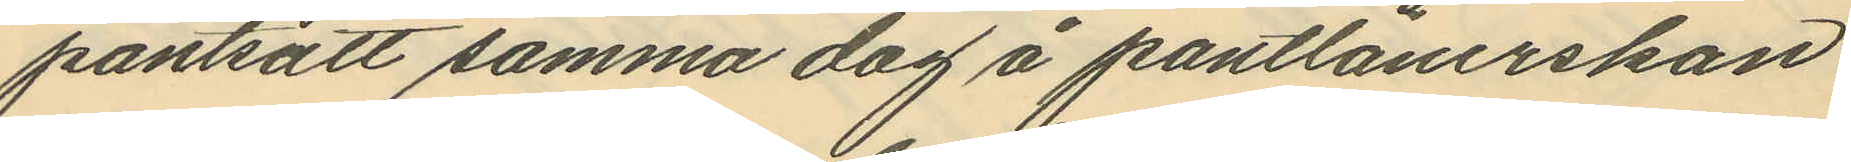pantsatt samma dag å pantlånerskan
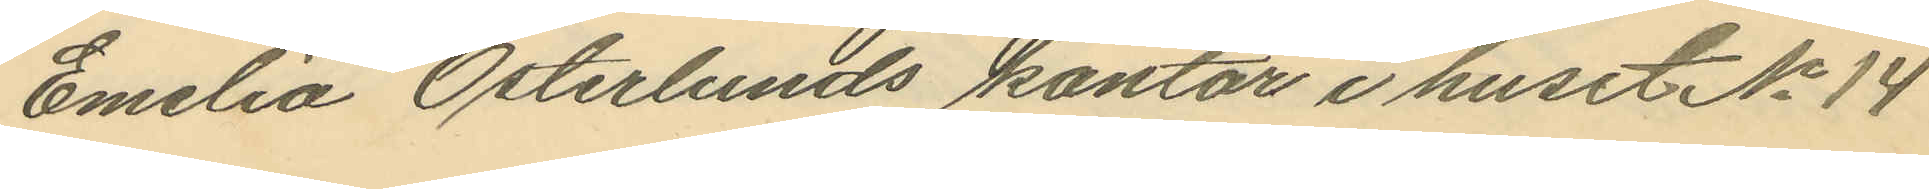Emilia Österlunds kontor i huset No 14
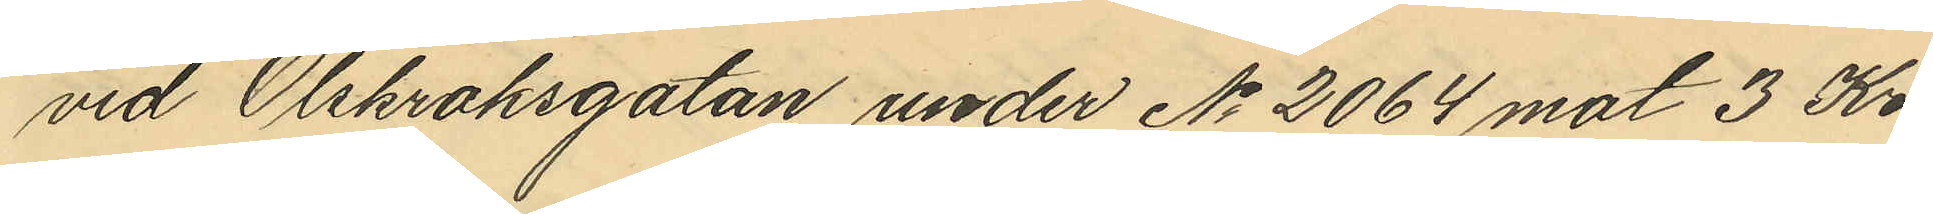vid Olskroksgatan under No 2064 mot 3 Kr.
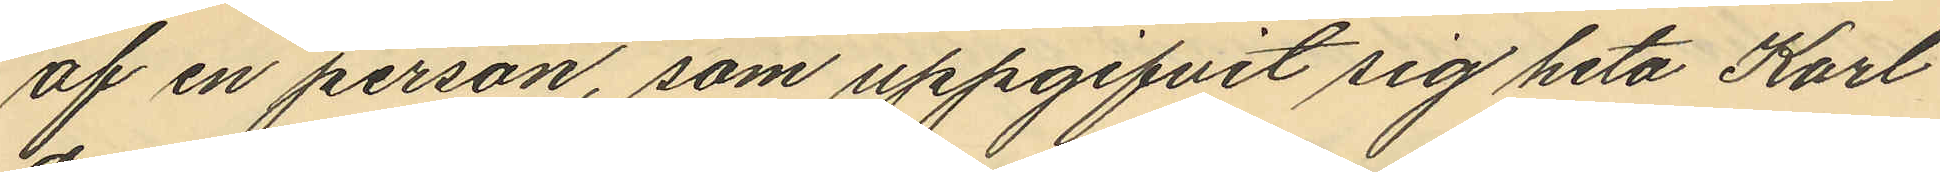af en person, som uppgifvit sig heta Karl
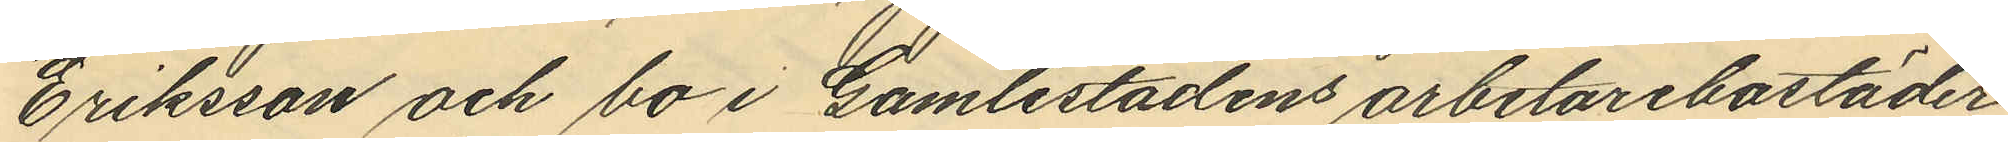Eriksson och bo i Gamlestadens arbetarebostäder.
